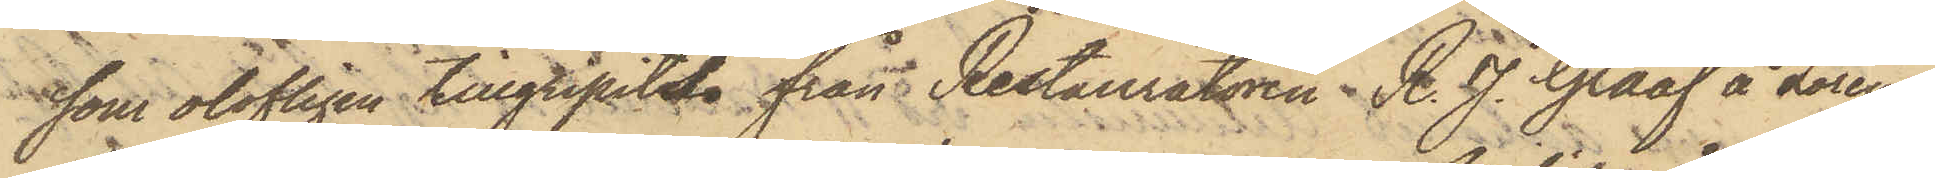som olofligen tillgripits från Restauratören R. J. Graaf å Lorens¬
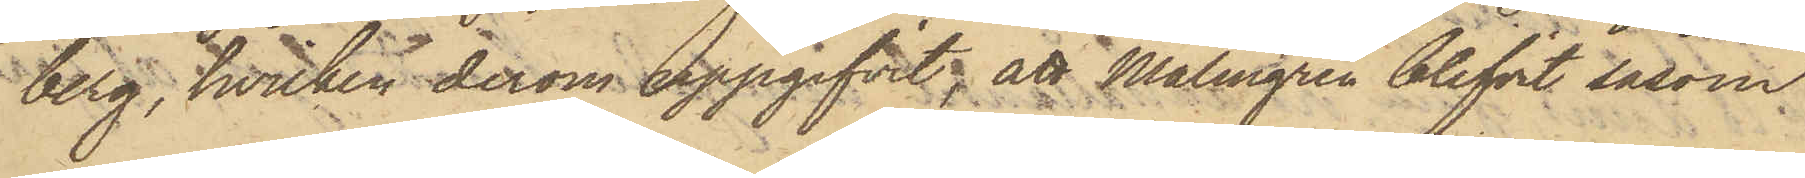berg, hvilken derom uppgifvit, att Malmgren blifvit såsom
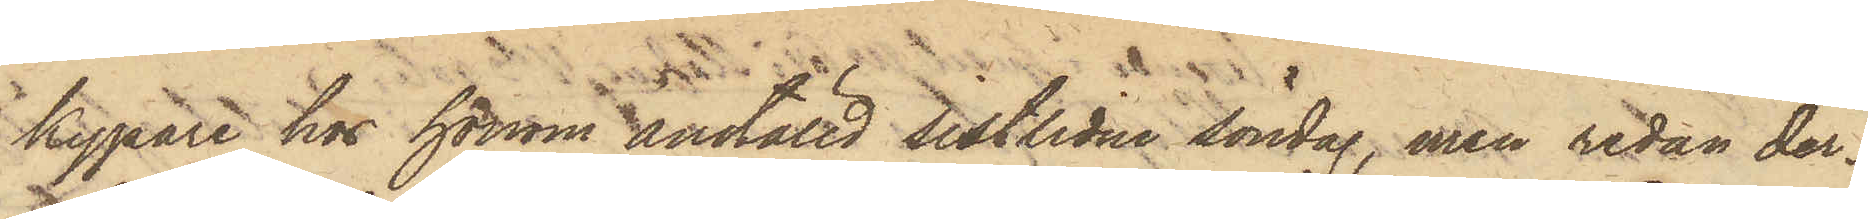kypare hos honom anställd sistlidne söndag, men redan der¬
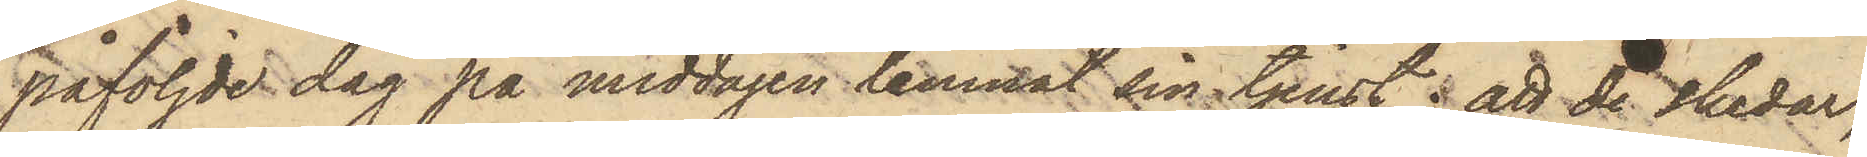påföljde dag på middagen lemnat sin tjenst; att de skedar,
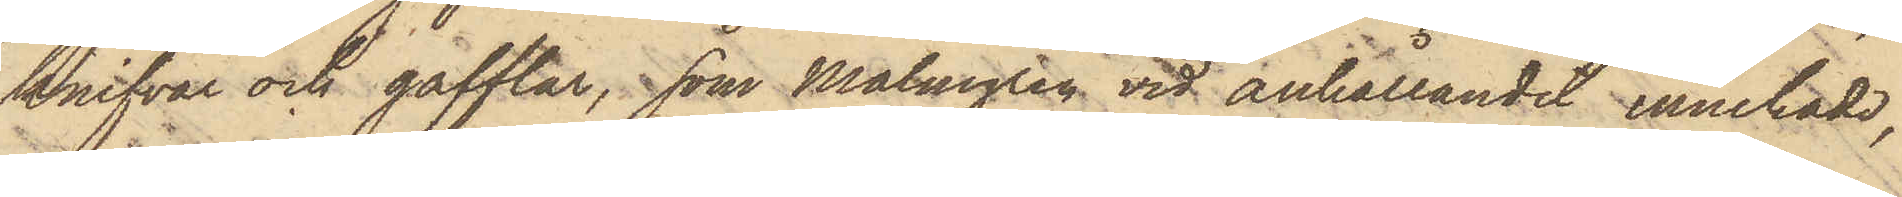knifvar och gafflar, som Malmgren vid anhållandet innehade,
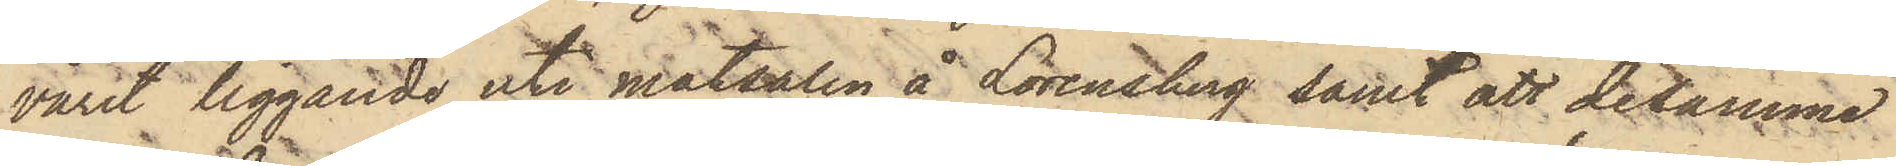varit liggande uti matsalen å Lorensberg samt att desamme
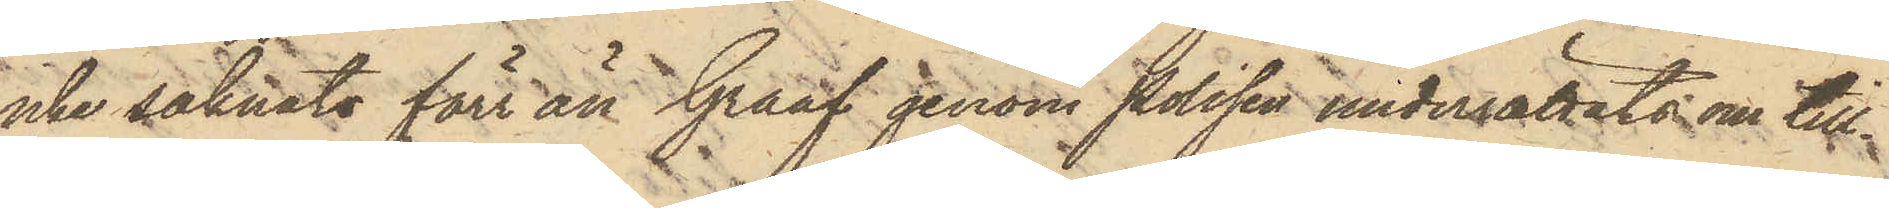icke saknats förr än Graaf genom polisen underrättats om till¬
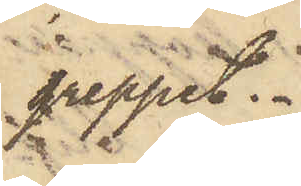greppet:
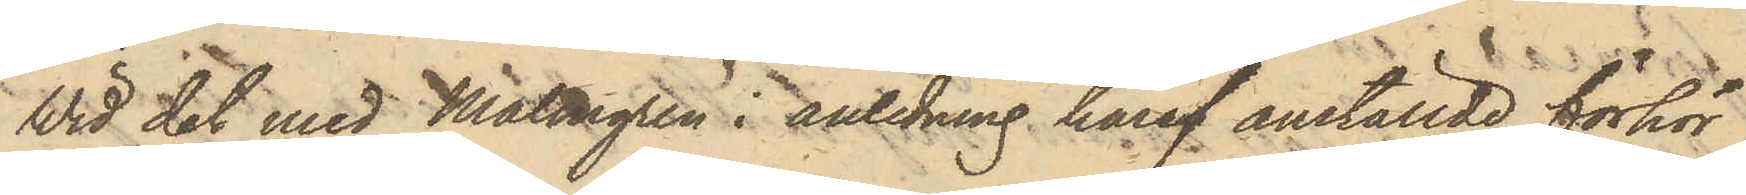Wid det med Malmgren i anledning häraf anställde förhör
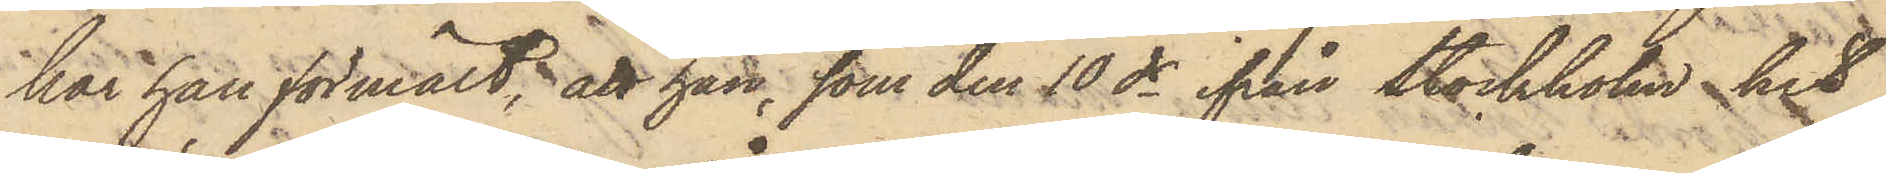har han förmält, att han, som den 10 ds ifrån Stockholm hit
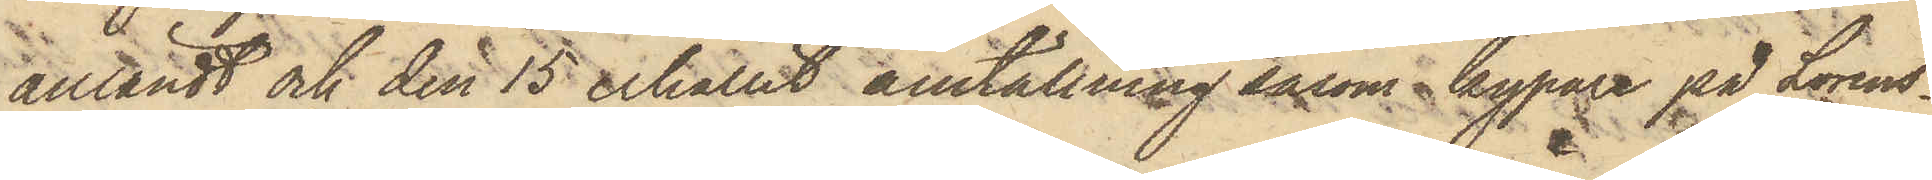anländt och den 15 erhållit anställning såsom kypare på Lorens¬
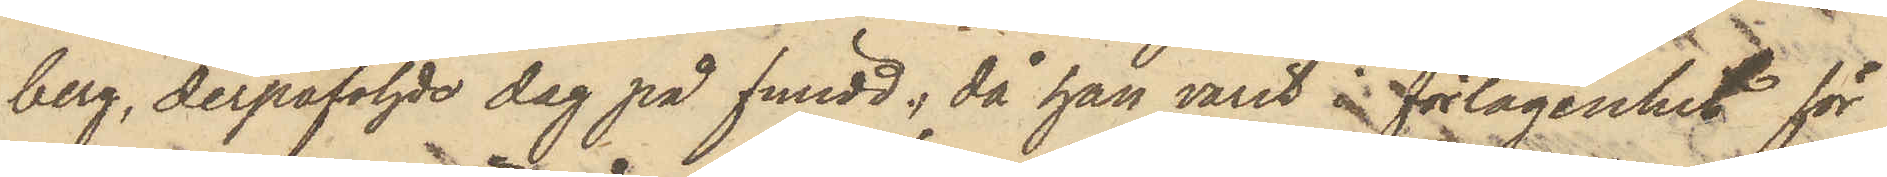berg, derpåföljde dag på fmidd., då han varit i förlägenhet för
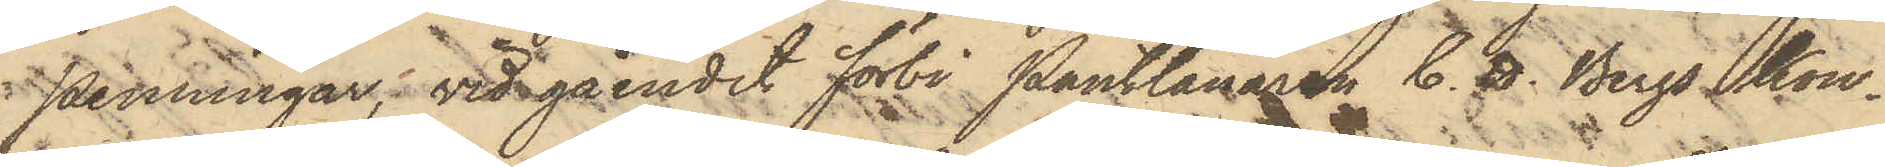penningar; vid gåendet förbi Pantlånaren C. H. Bergs Kon¬
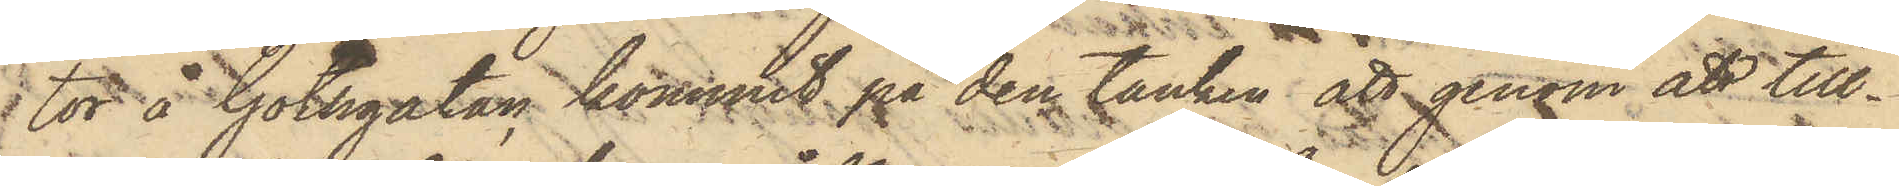 tor å Göthgatan, kommit på den tanken att genom att till¬
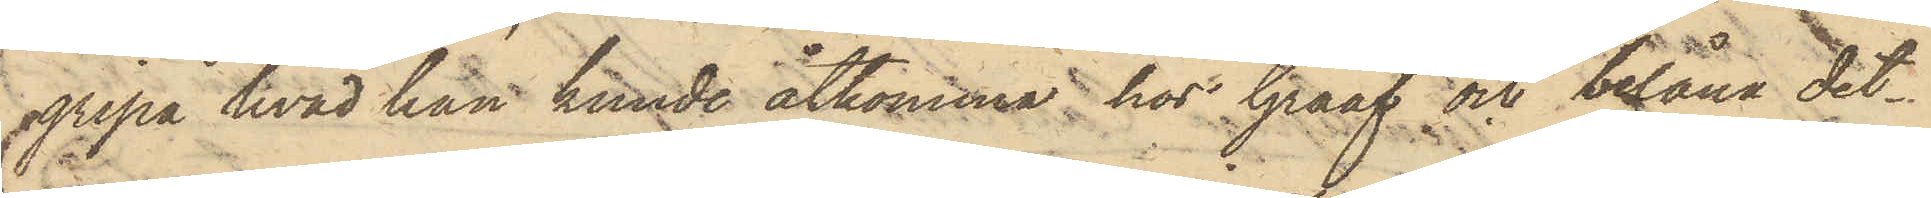gripa hvad han kunde åtkomma hos Graaf och belåna det¬
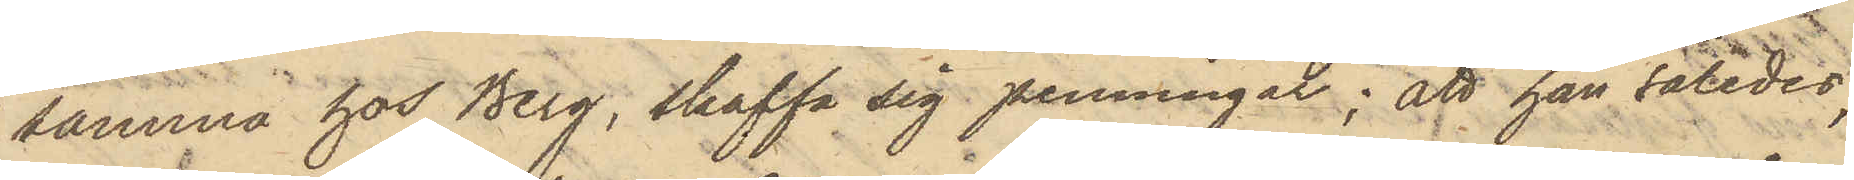samma hos Berg, skaffa sig penningar; att han således,
